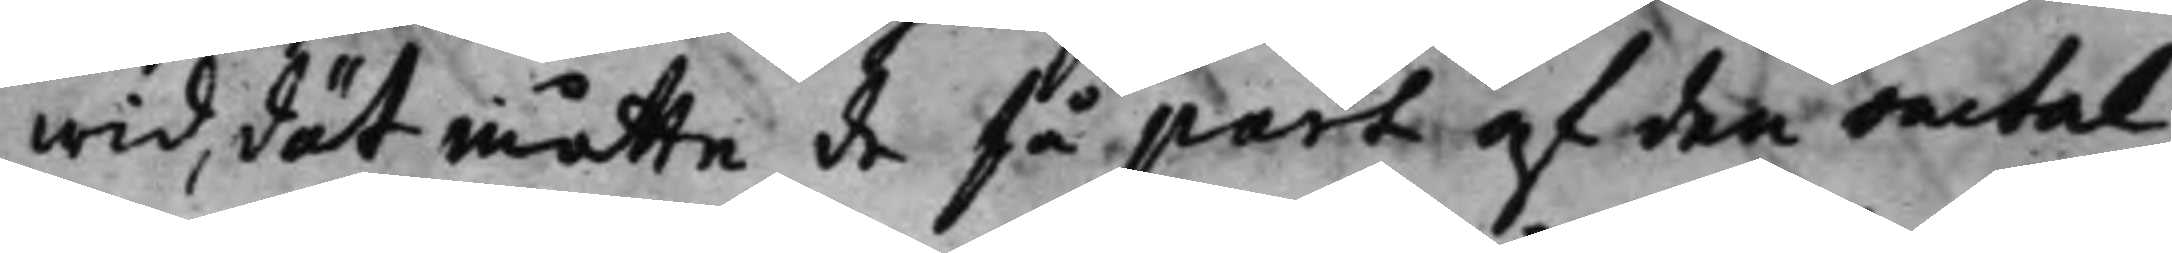wid, dät måtte de få part af den omtal¬
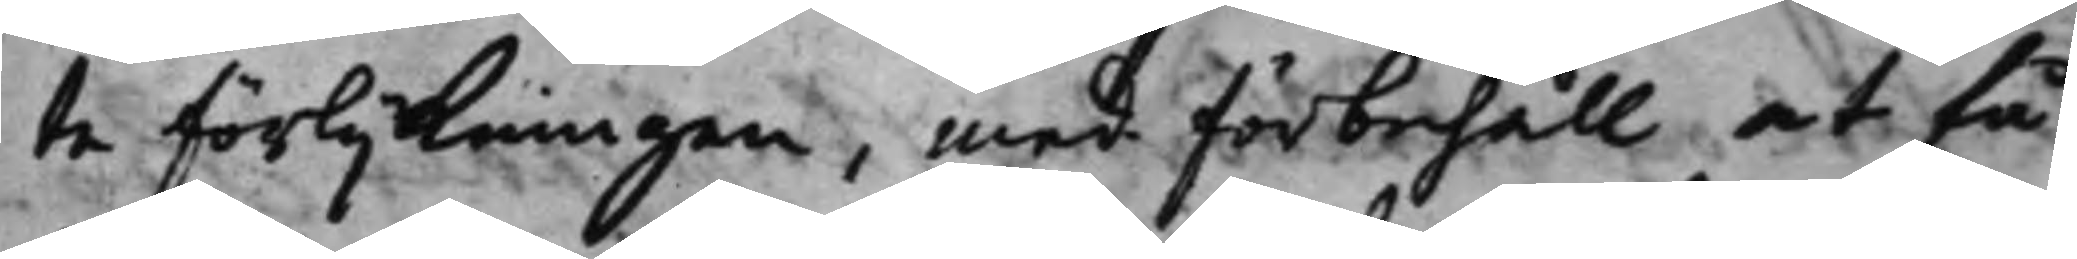te förlijkningen, med förbehåll at få
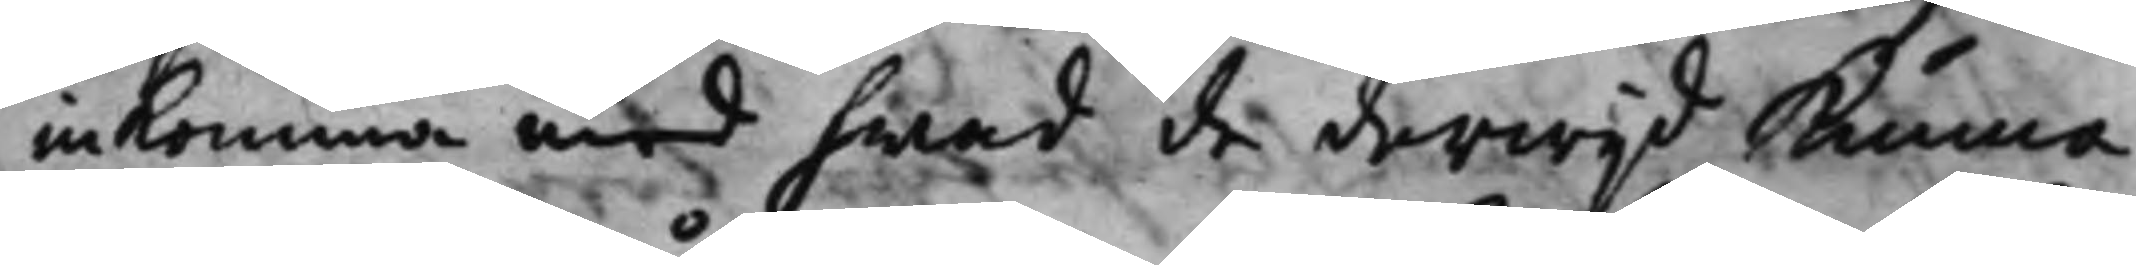inkomma med hwad de derwijd kunna
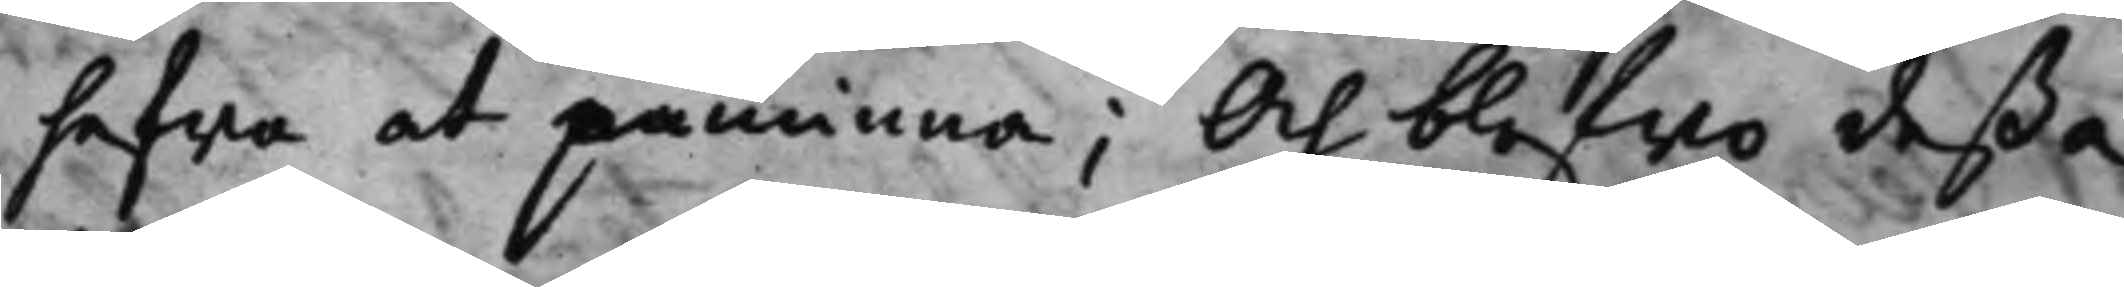hafwa at påminna; Och blefwo deßa
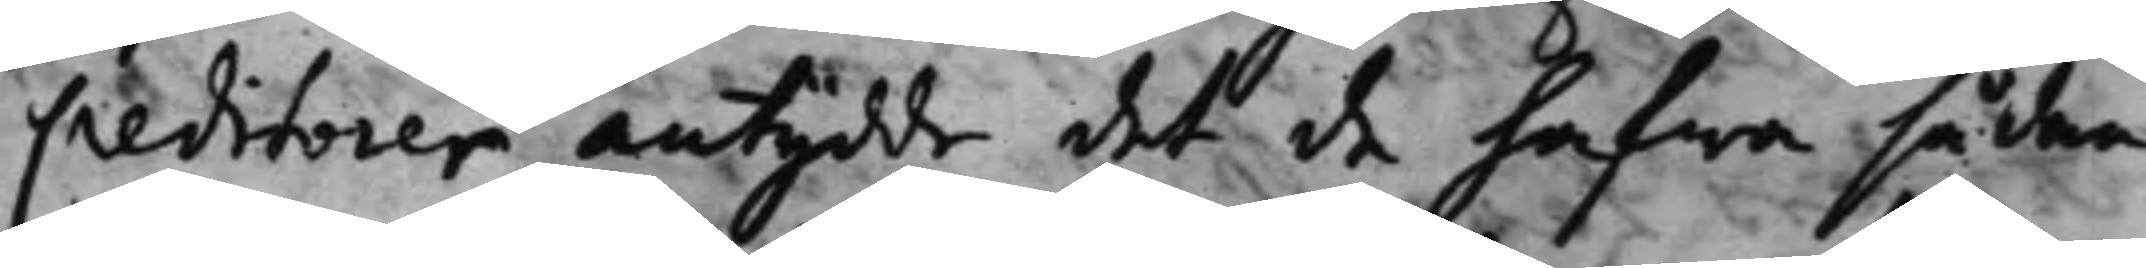Creditorer antydde det de hafwa sådan
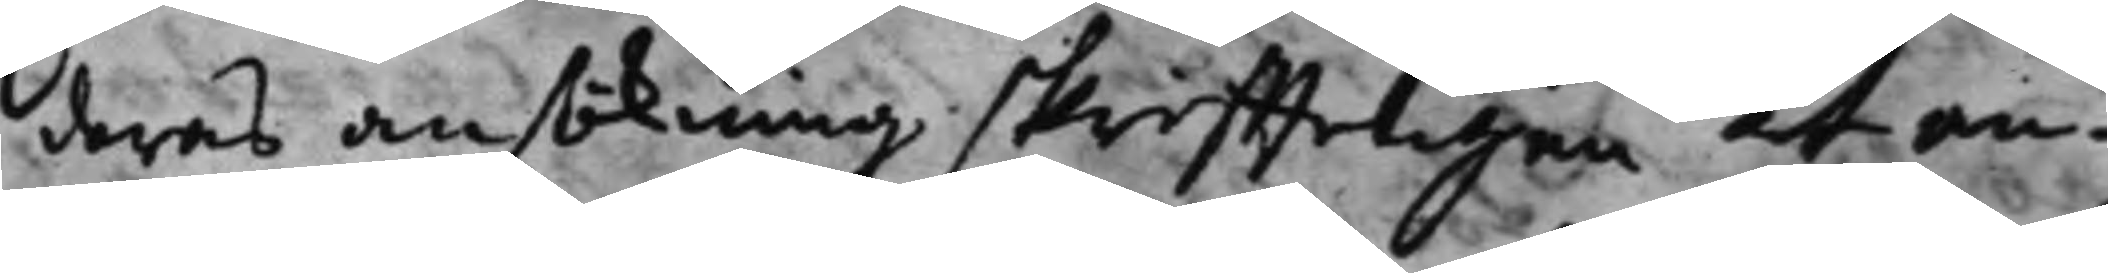deras ansökning skriffteligen at an¬
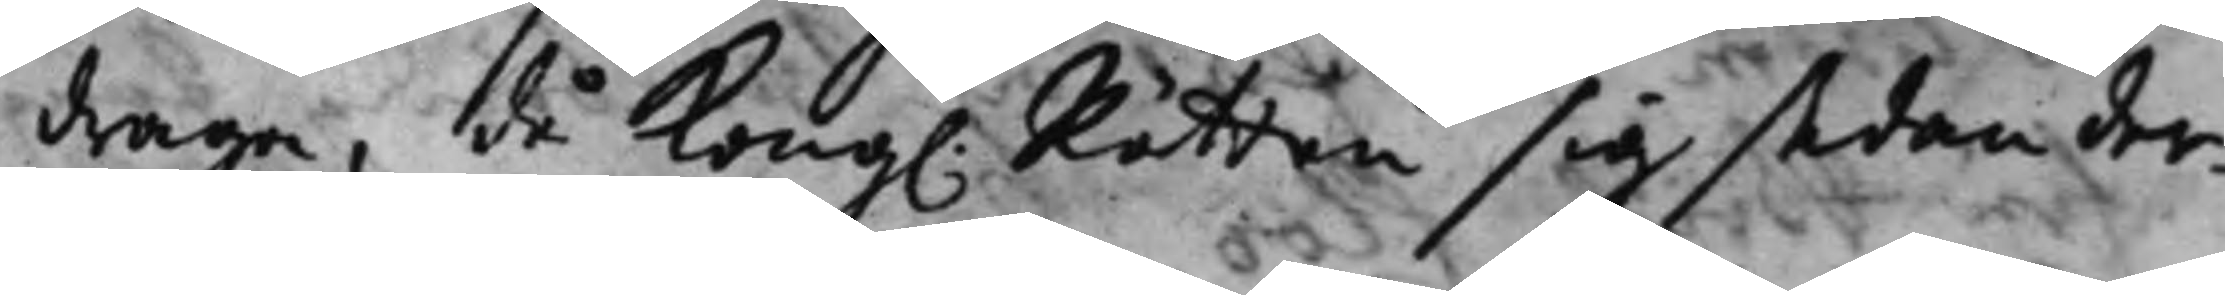draga, då Kong. Rätten sig sedan der¬ 
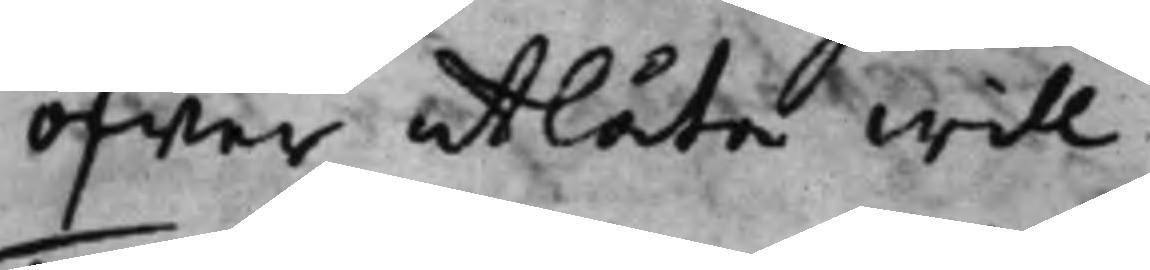öfwer utlåta will.
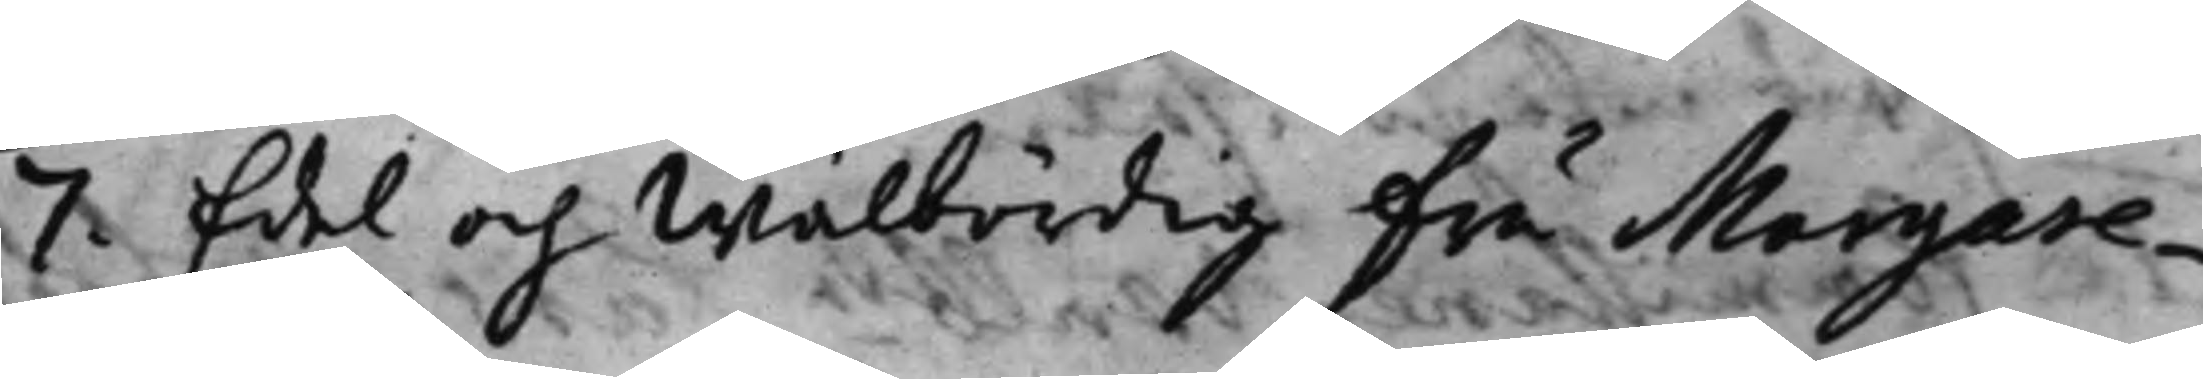7. Edel och Wälbördig Fru Margare¬
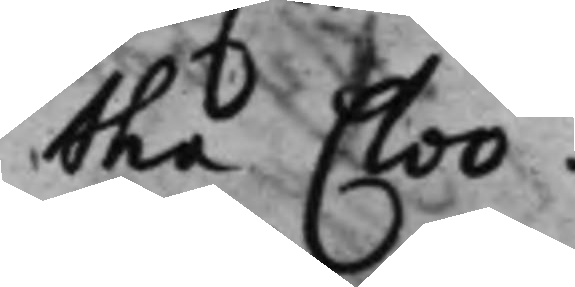tha Cloo.
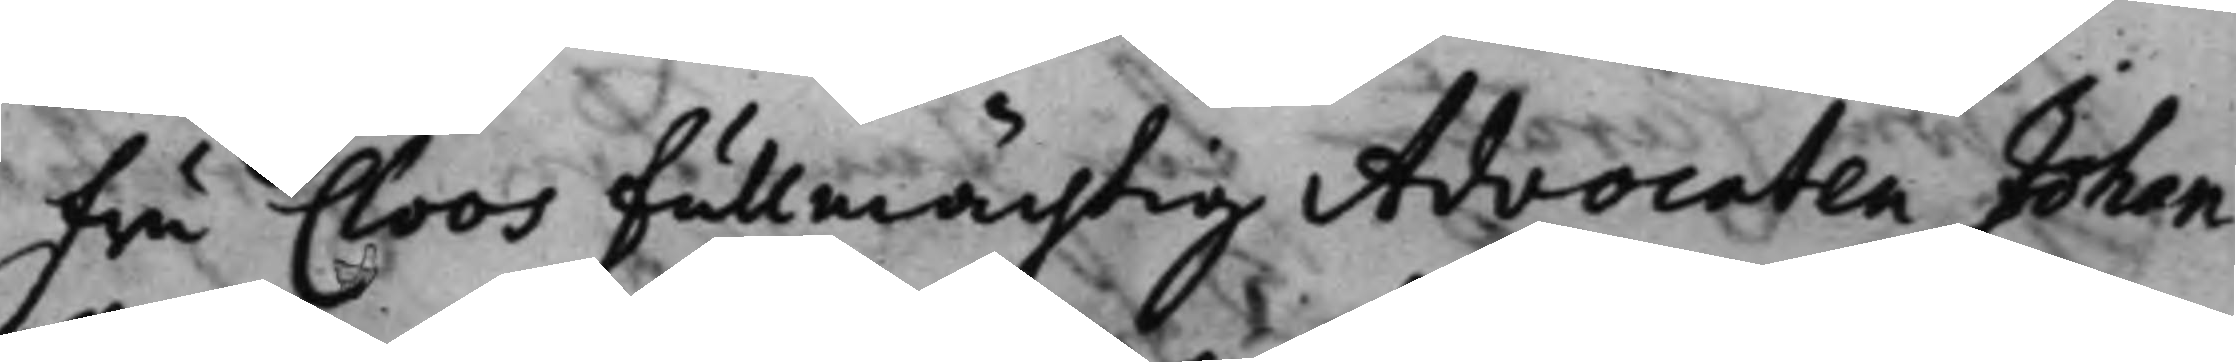Fru Cloos Fullmächtig Advocaten Johan
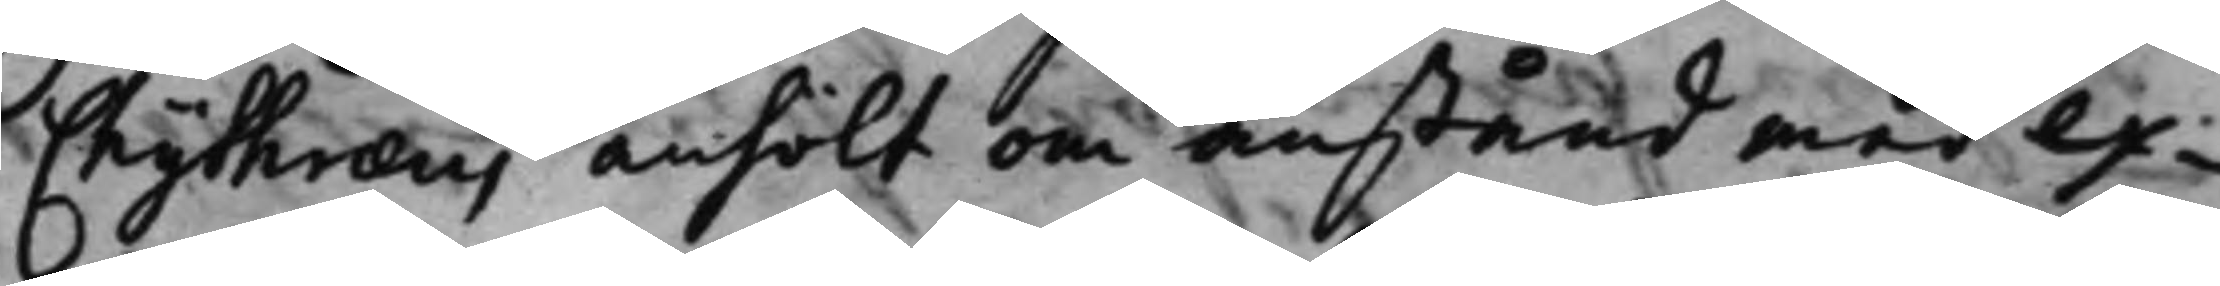Chythræus, anhölt om anstånd med ex¬
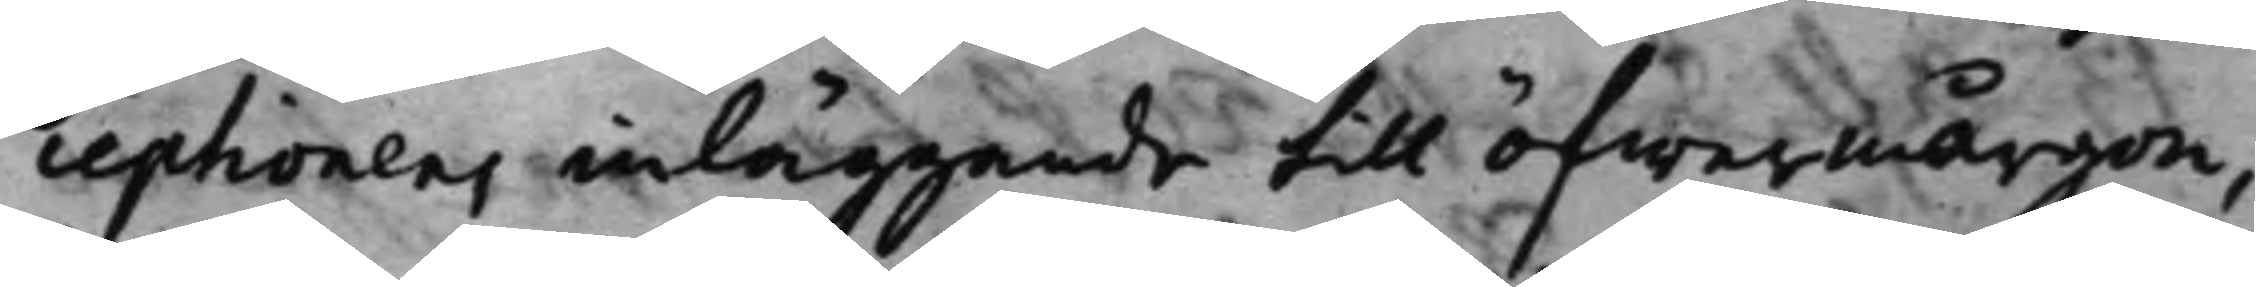ceptionens inläggande till öfwermårgon,
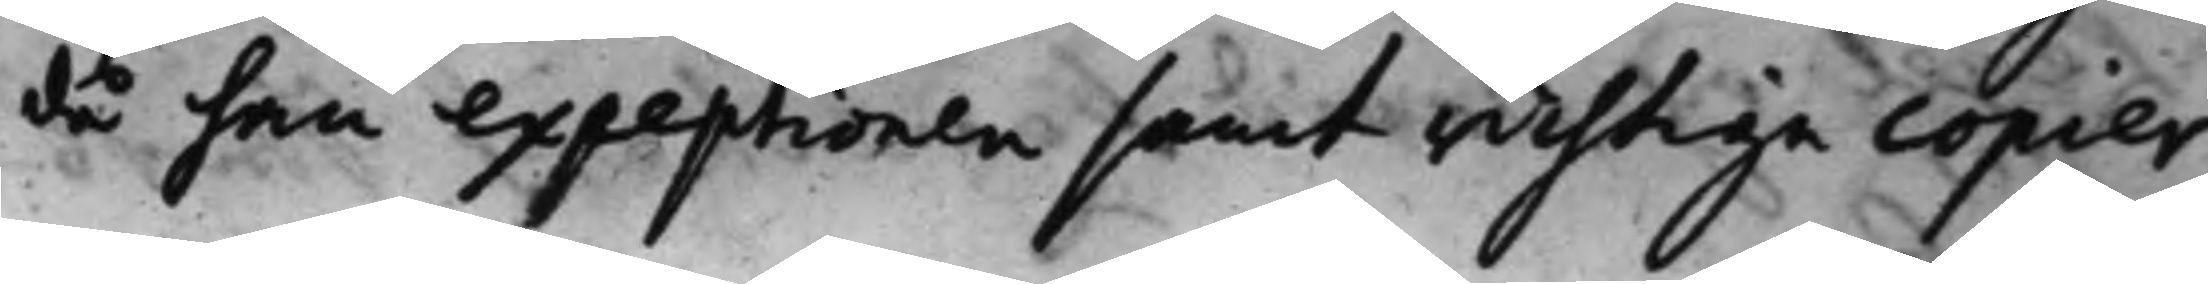då han exceptionen samt richtige copier
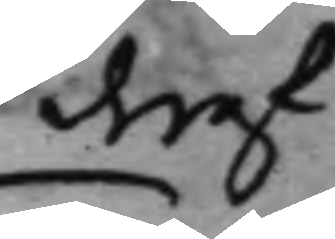deraf
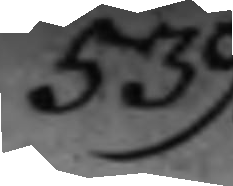539.
